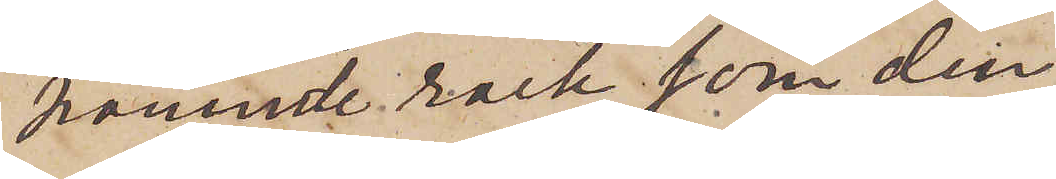nämnde rock som den
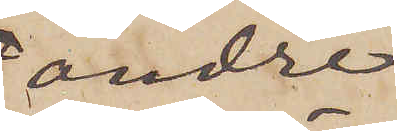andre
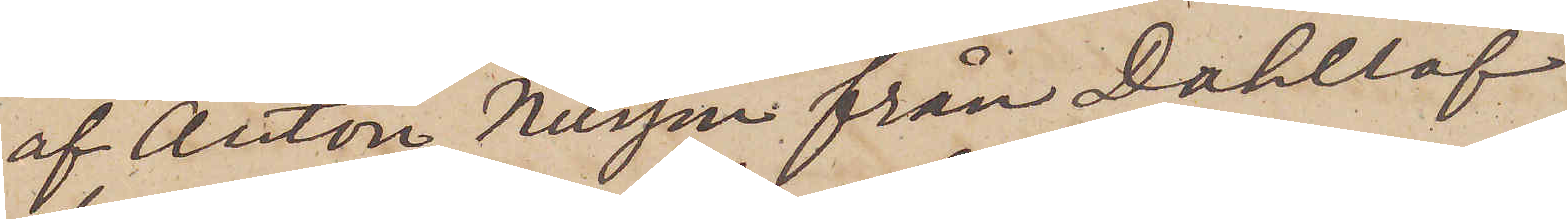af Anton Nilsson från Dahllöf
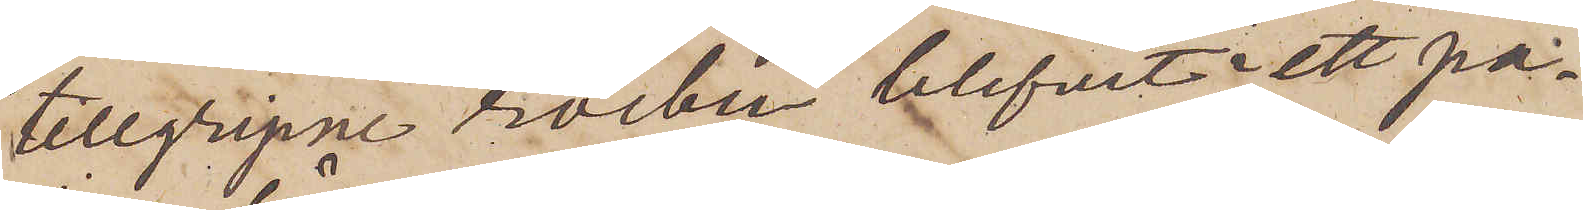tillgripne rocken blifvit i ett pa¬
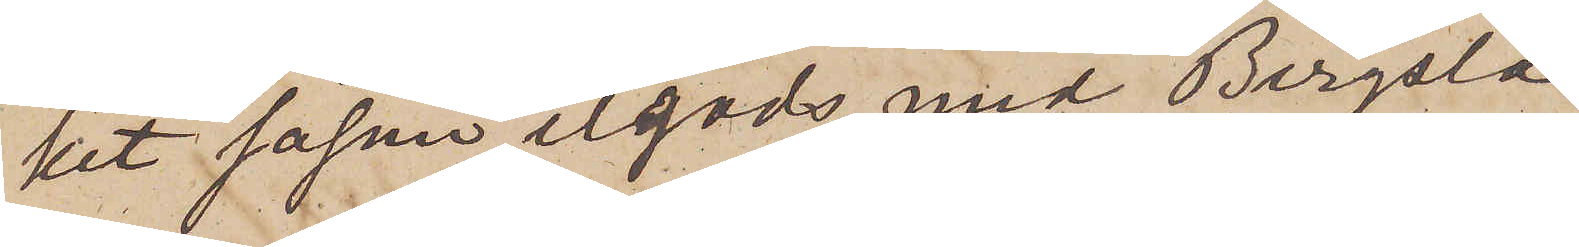ket såsom ilgods med Bergsla¬
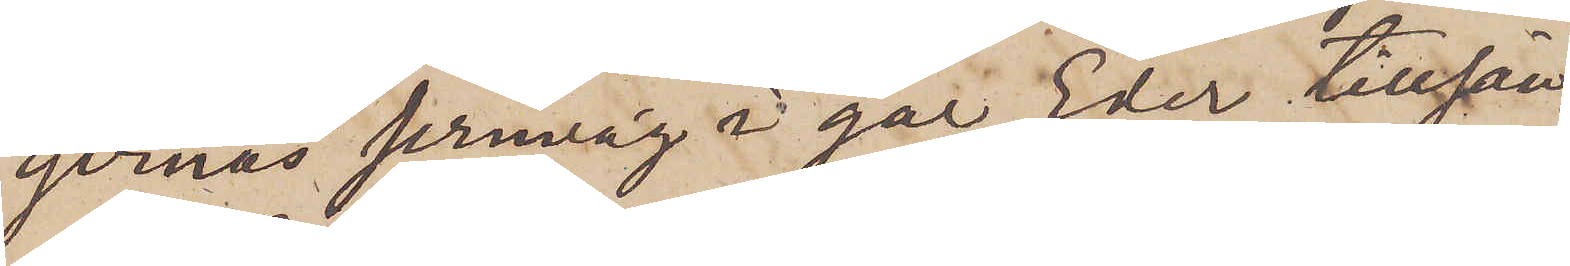gernas jernväg i går Eder tillsän¬
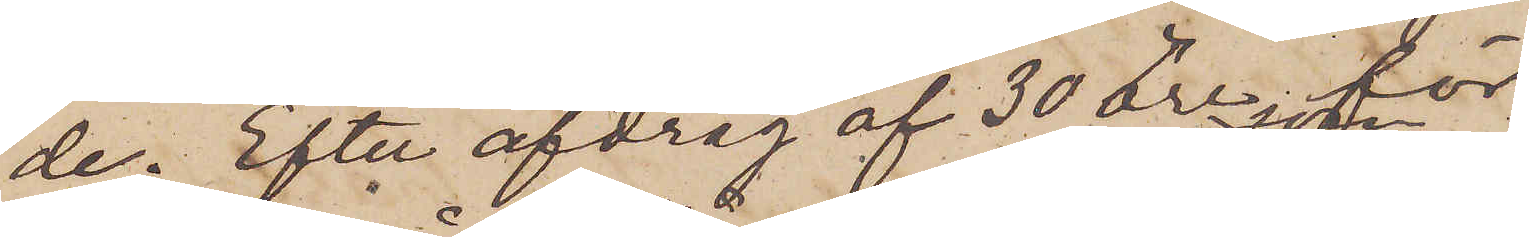de. Efter afdrag af 30 öre, för
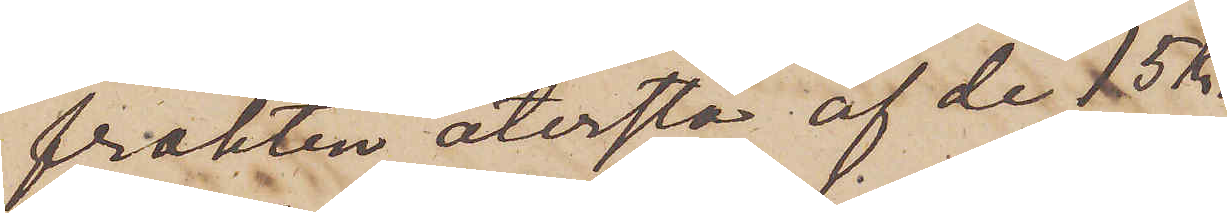frakten återstå af de 15 Kr
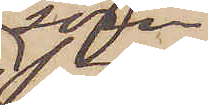som
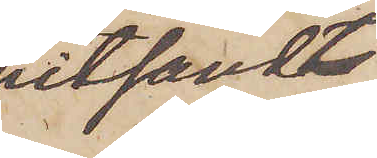hitsändts,
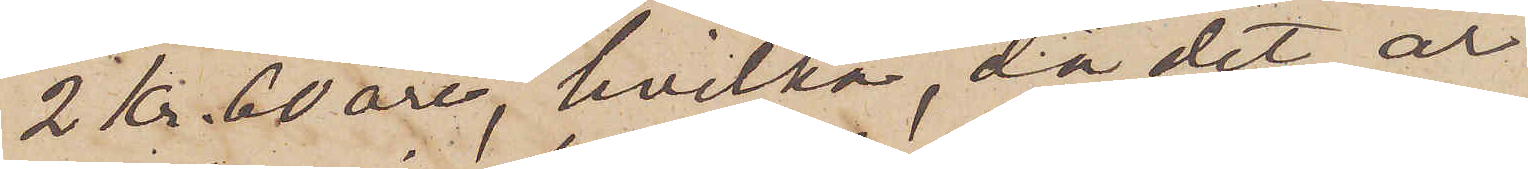2 Kr 60 öre, hvilka, då det är
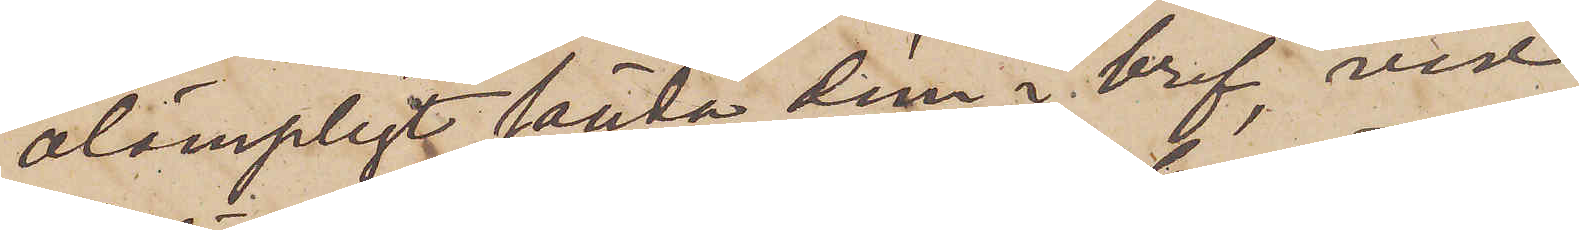olämpligt sända dem i bref, vid
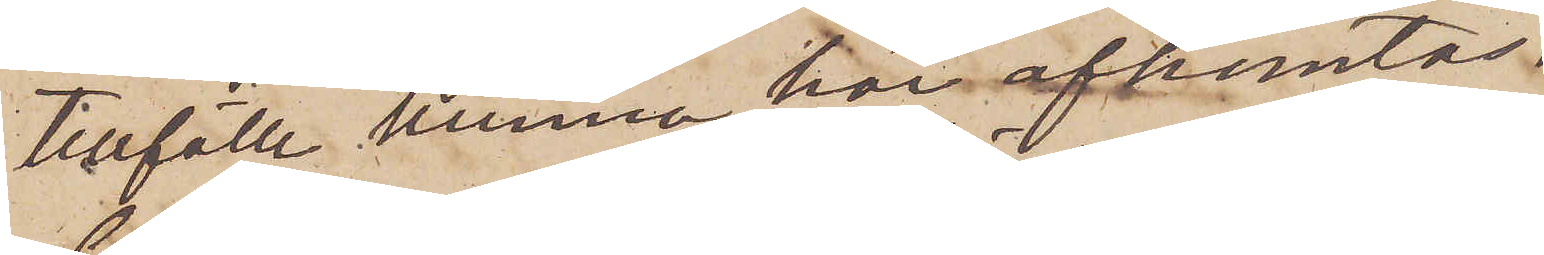tillfälle kunna här afhemtas.
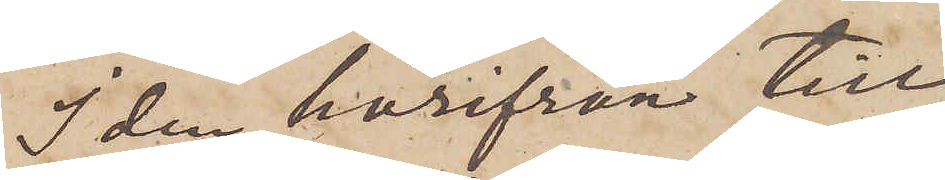I den härifrån till
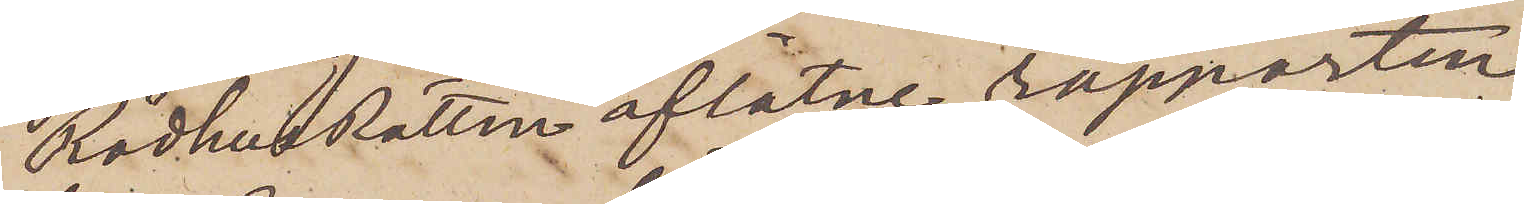RådhusRätten aflåtne rapporten
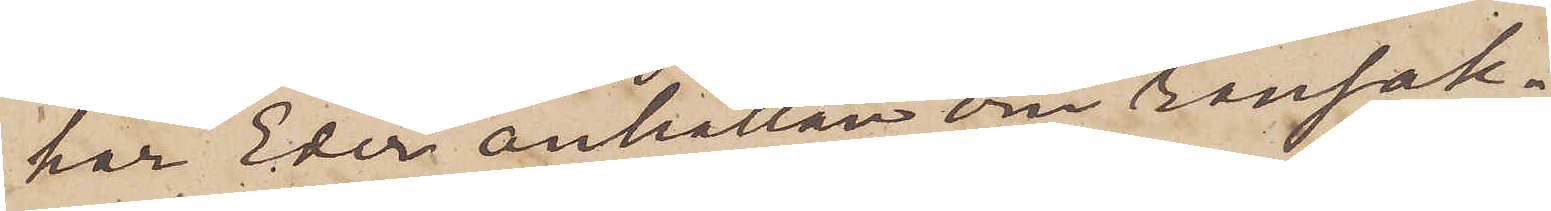har Eder anhållan om ransak¬
